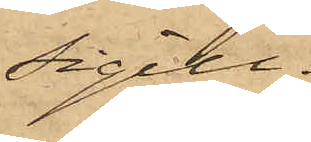Sigill."
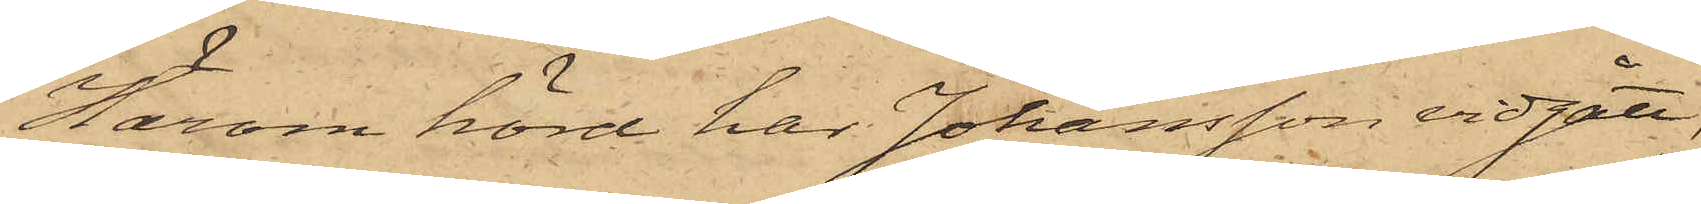Härom hörd har Johansson vidgått,
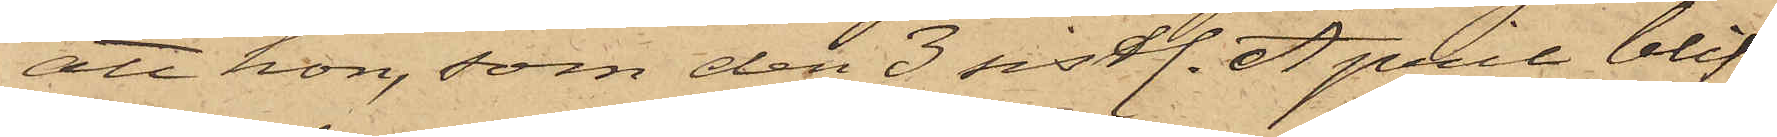att hon, som den 3 sistl. April blif¬
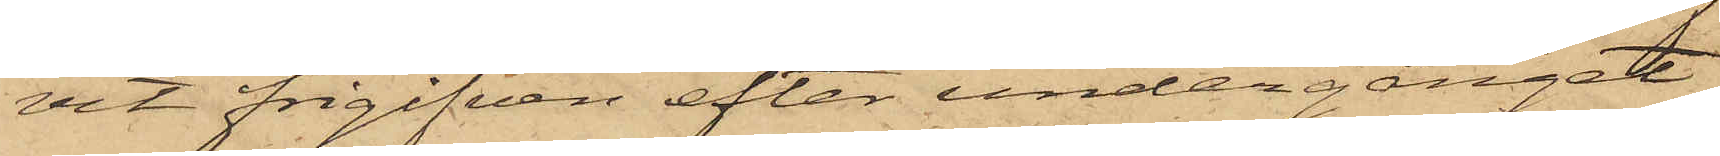vit frigifven efter undergånget
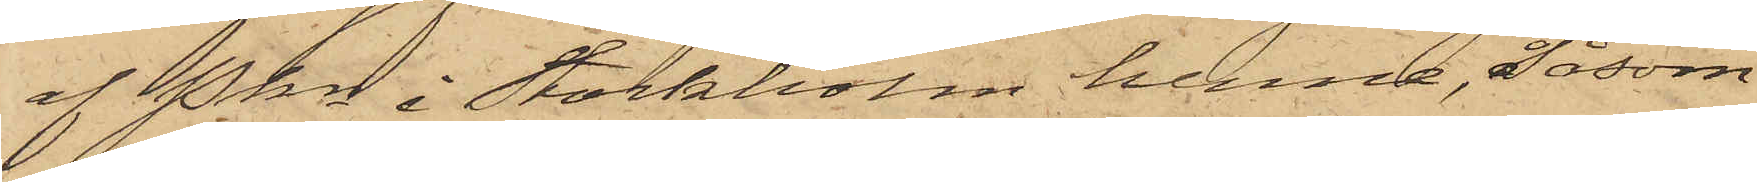af Pkn i Stockholm henne, såsom
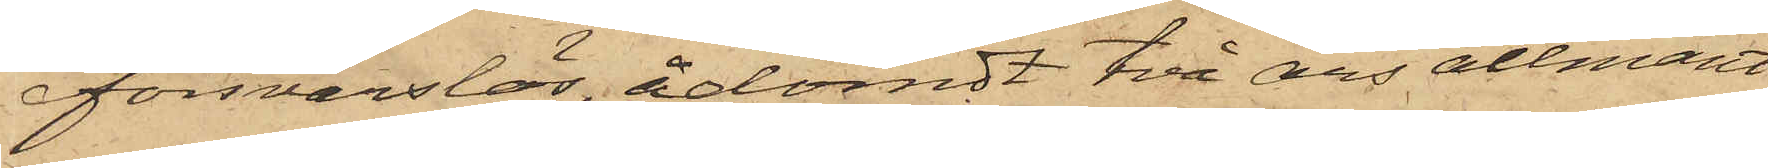försvarslös, ådömdt två års allmänt
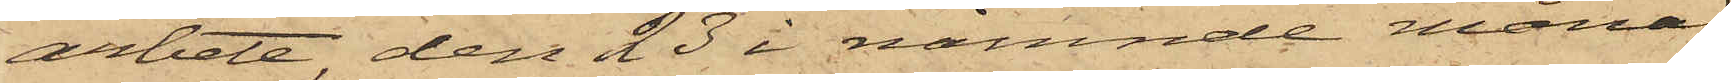arbete, den 23 i nämnde månad
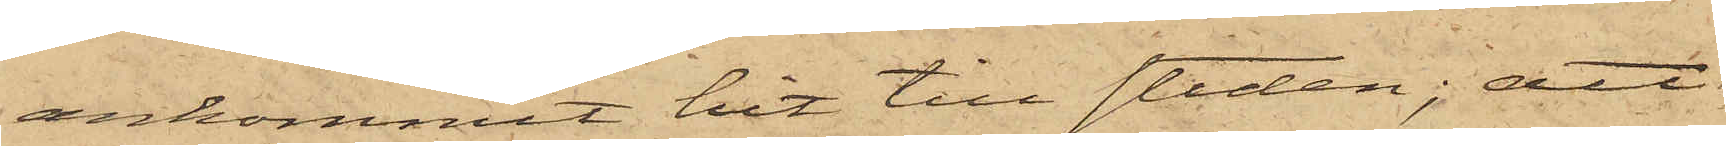ankommit hit till staden; att
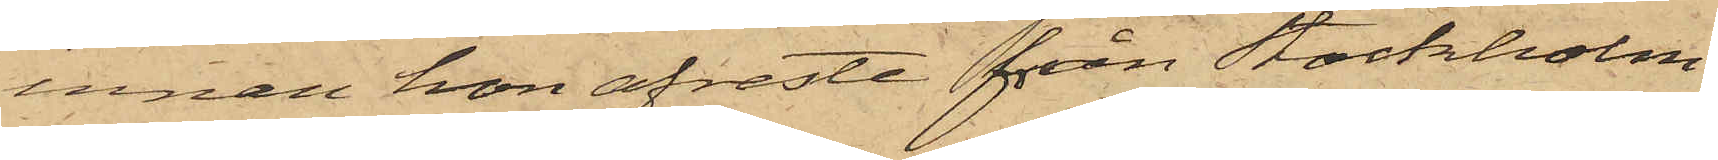innan hon afreste från Stockholm,
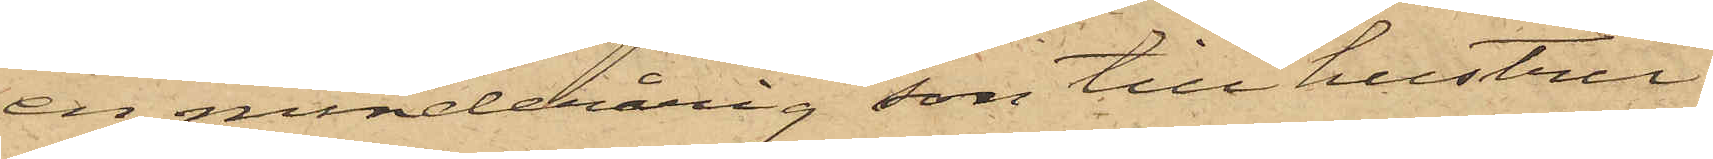en minderårig son till hustru
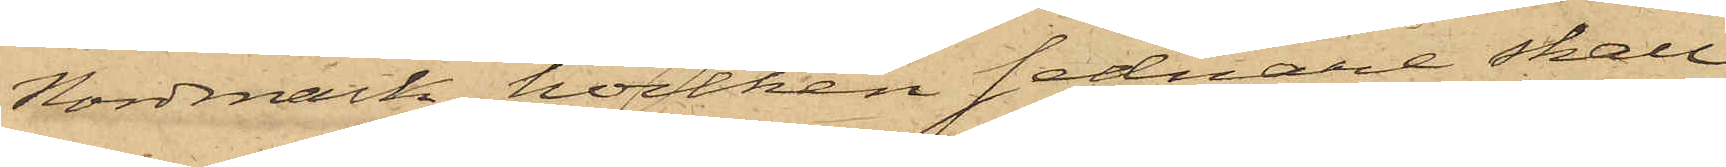Nordmark, hvilken sednare skall
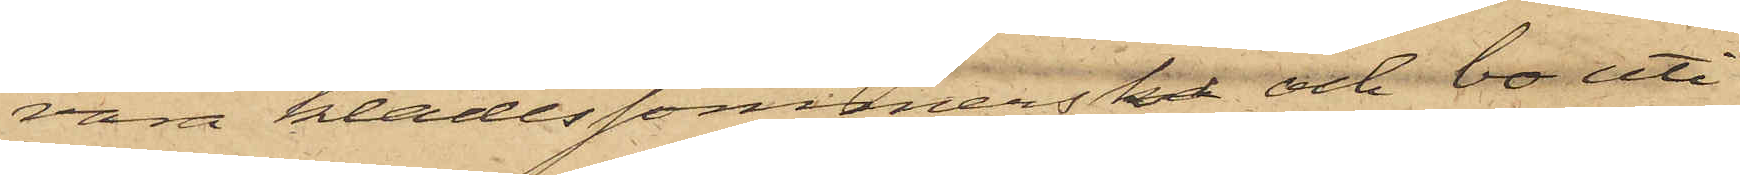vara klädessömmerska och bo uti
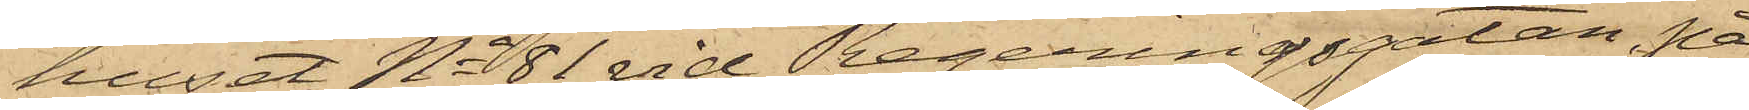huset No 81 vid Regeringsgatan, på
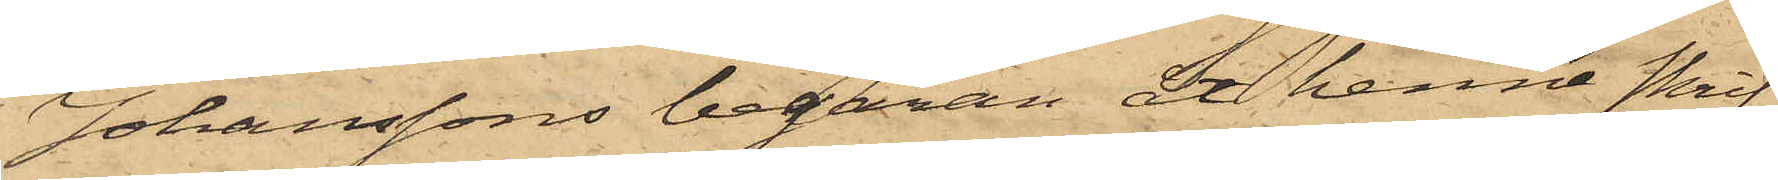Johanssons begäran åt henne skrif¬
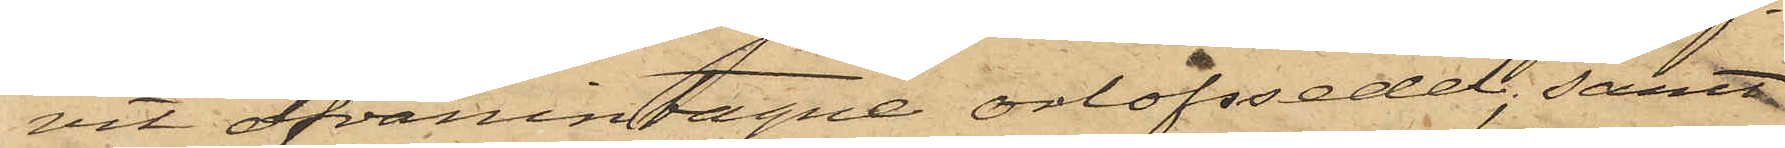vit ofvanintagne orlofssedel; samt
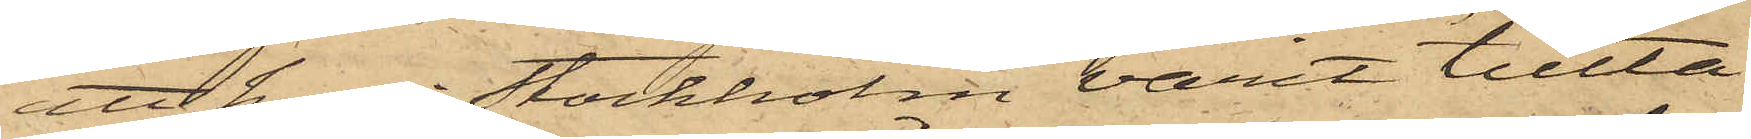att hon i Stockholm varit tillta¬
